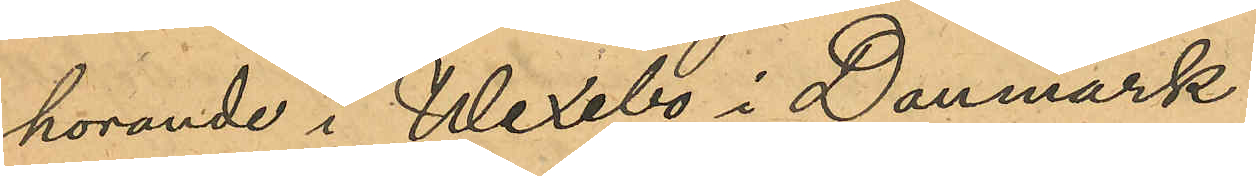hörande i Wexebo i Danmark.
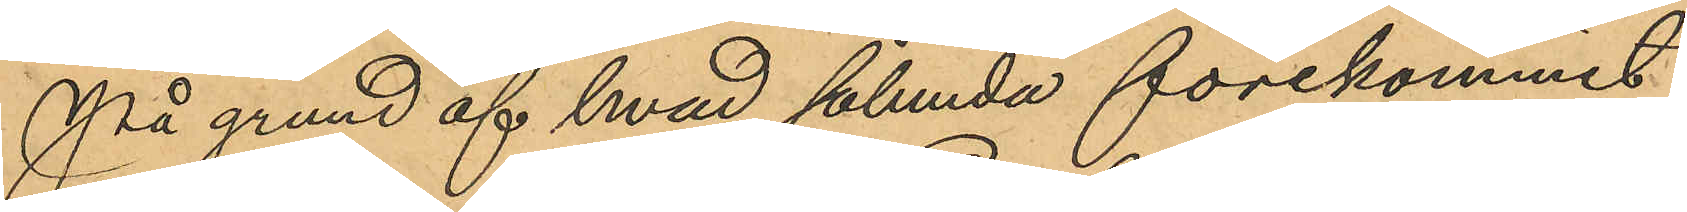På grund af hvad sålunda förekommit
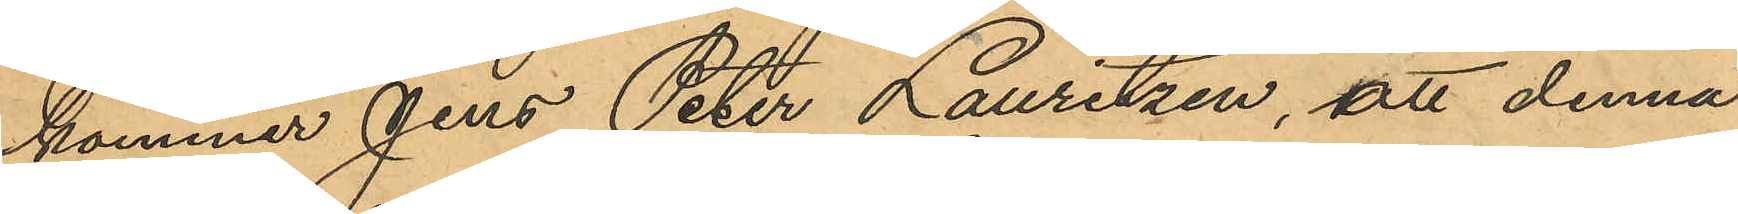kommer Jens Peter Lauritzen, att denna
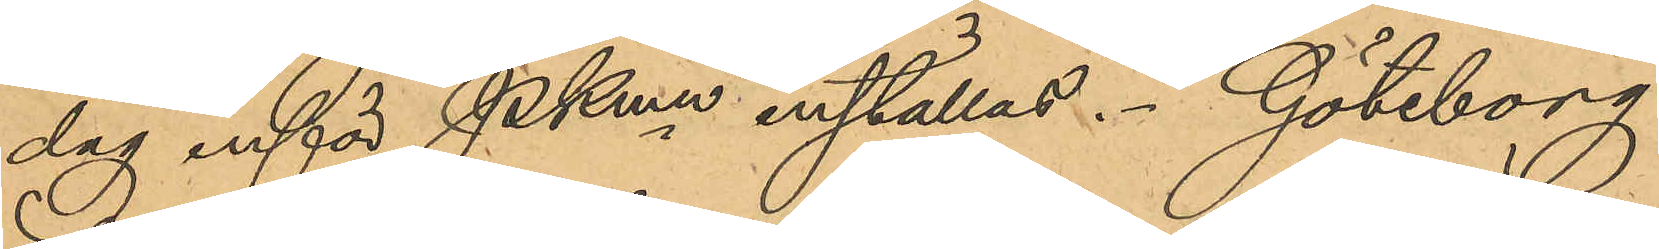dag inför PKmn inställas. Göteborg
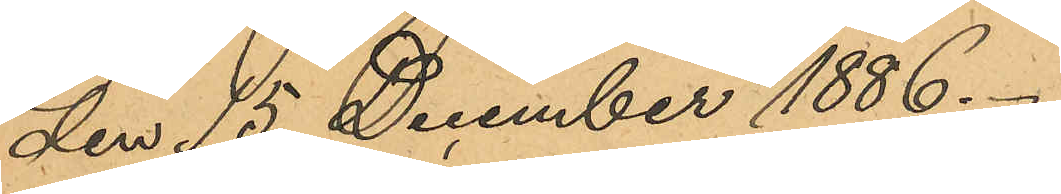den 15 December 1886.
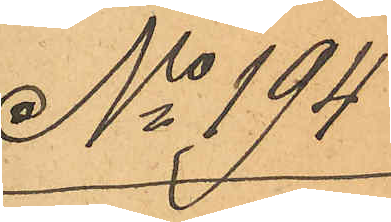No 194
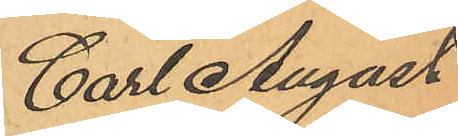Carl August
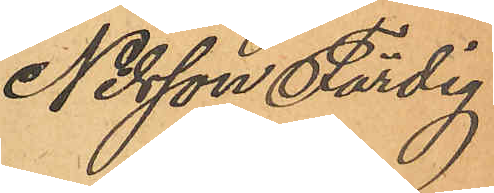Nilsson Färdig
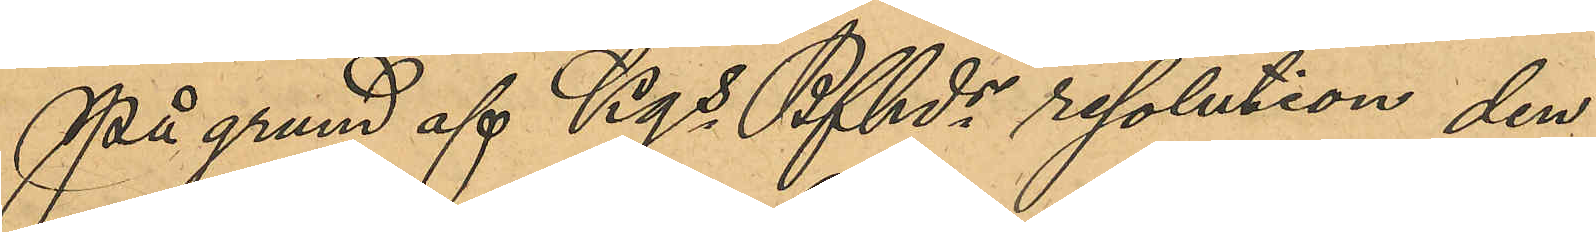På grund af Kgs Bfhds resolution den
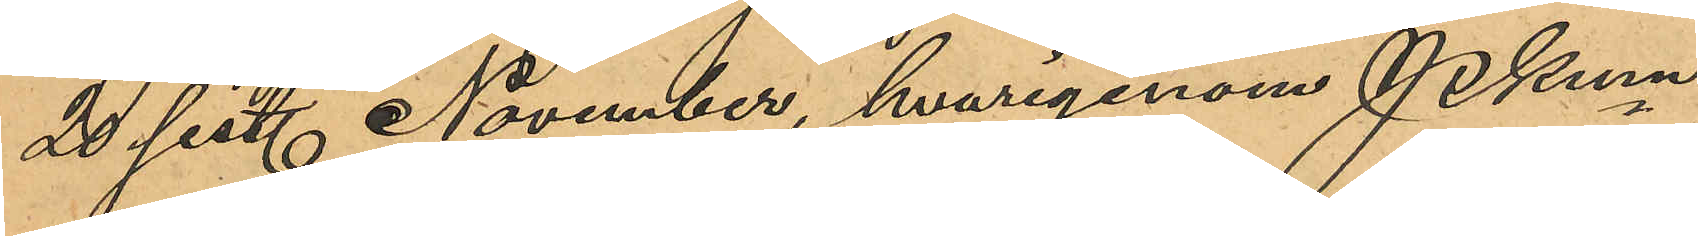20 sist. November, hvarigenom Pkmn
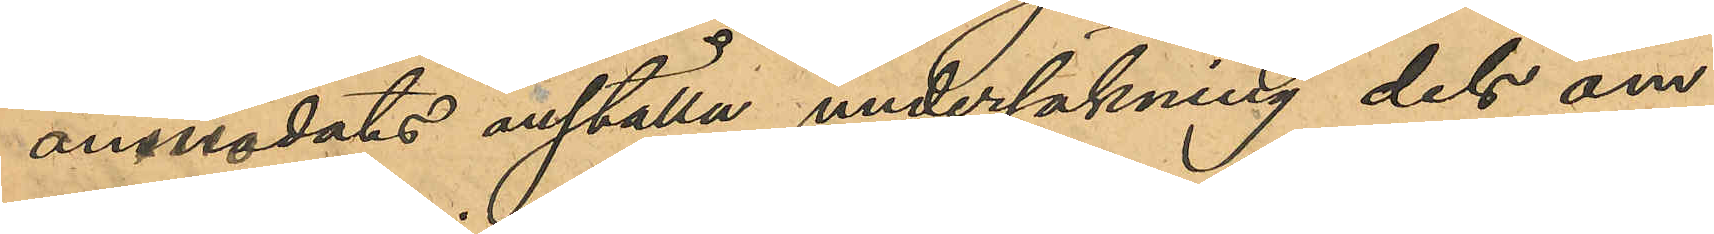annodats anställa undersökning dels om
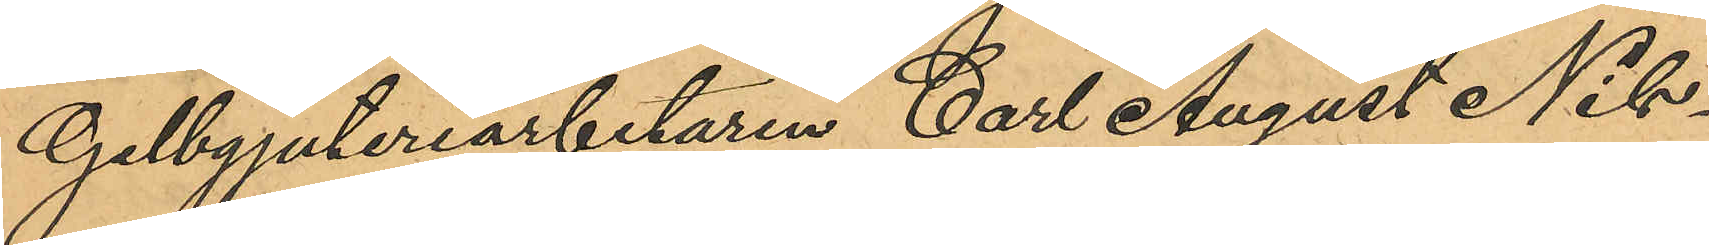Gelbgjuteriarbetaren Carl August Nils¬
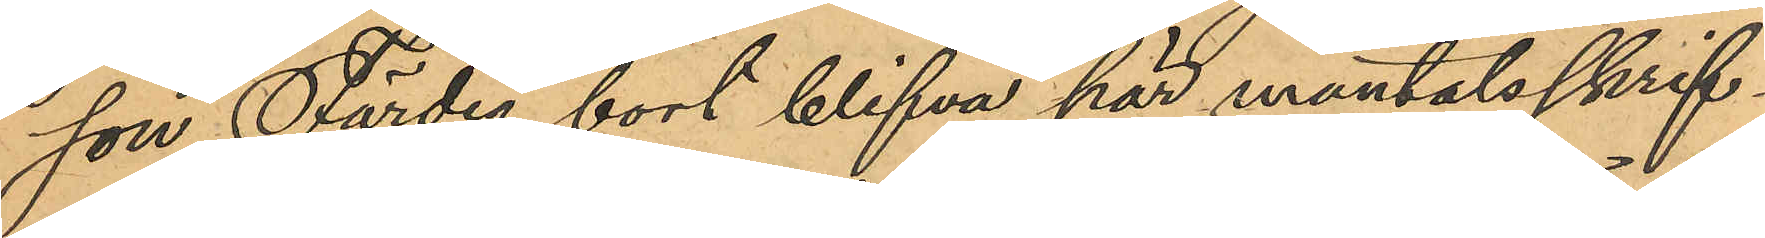son Färdig bort blifva här mantalsskrif¬
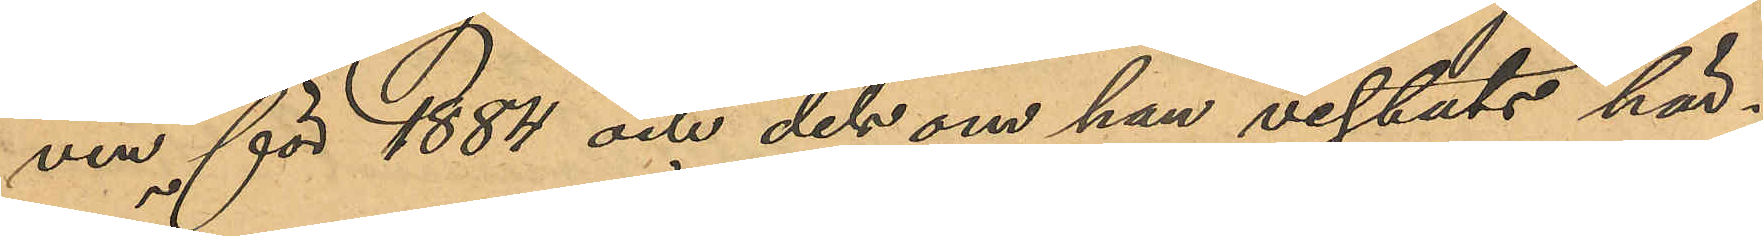ven för 1884 och dels om han vistats här¬
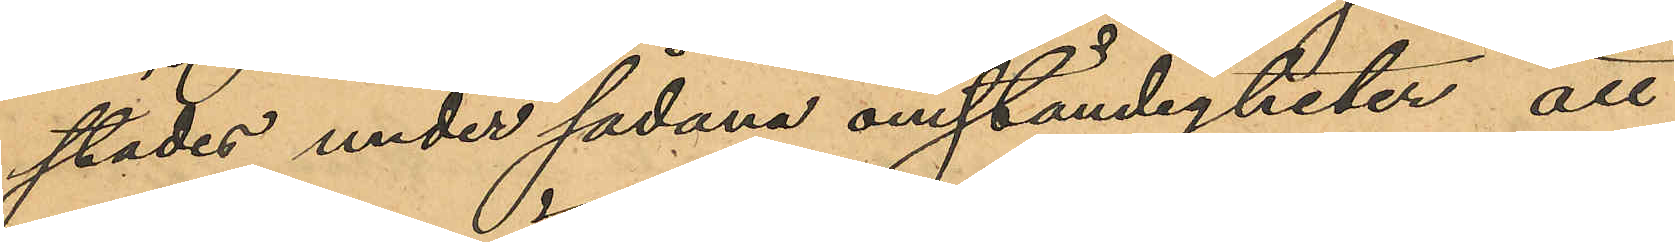städes under sådana omständigheter att
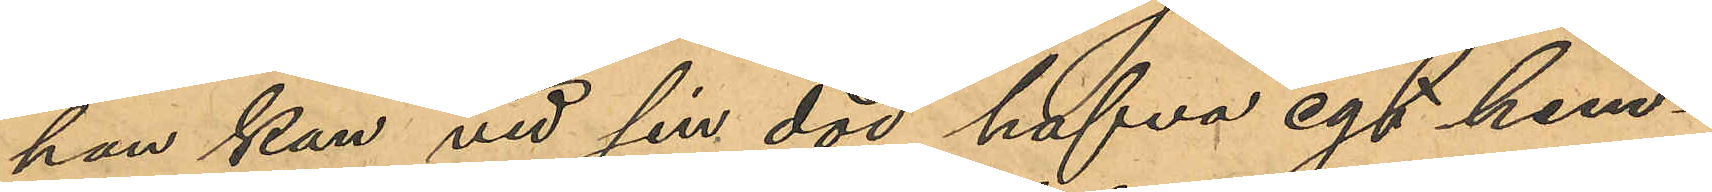han kan vid sin död hafva egt hem¬
